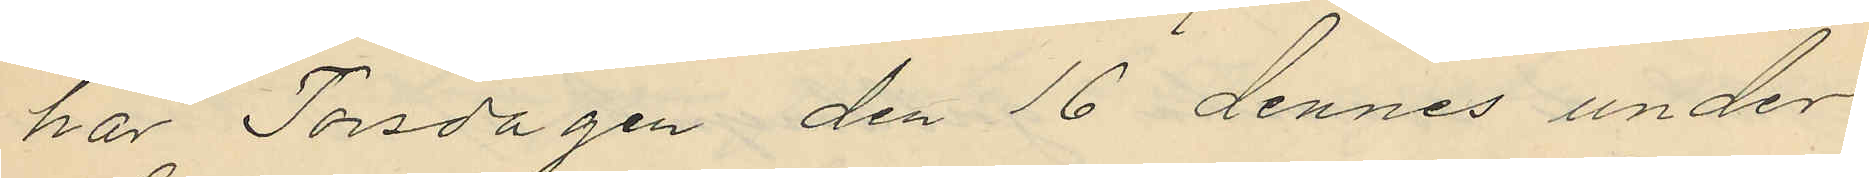har Torsdagen den 16 dennes under
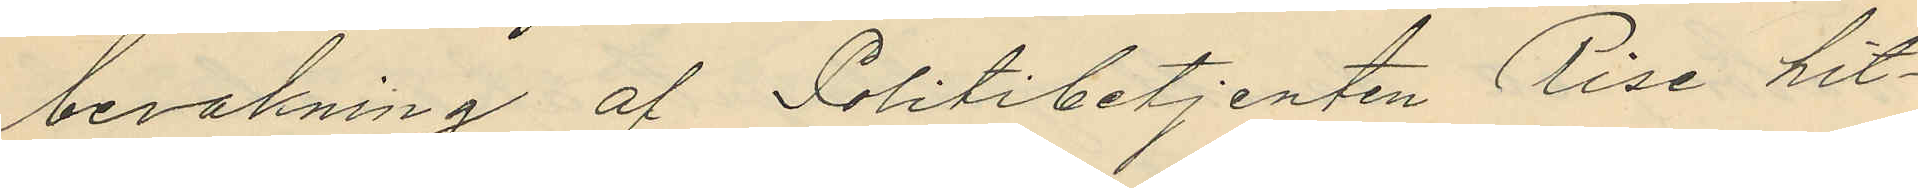bevakning af Politibetjenten Rise hit¬
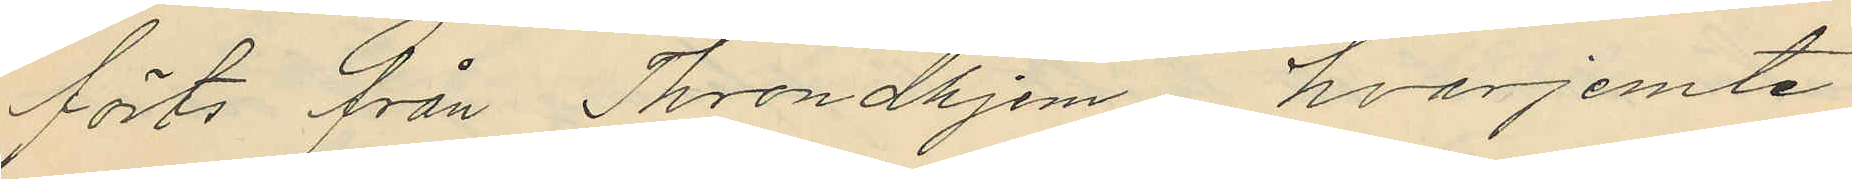förts från Trondhjem, hvarjemte
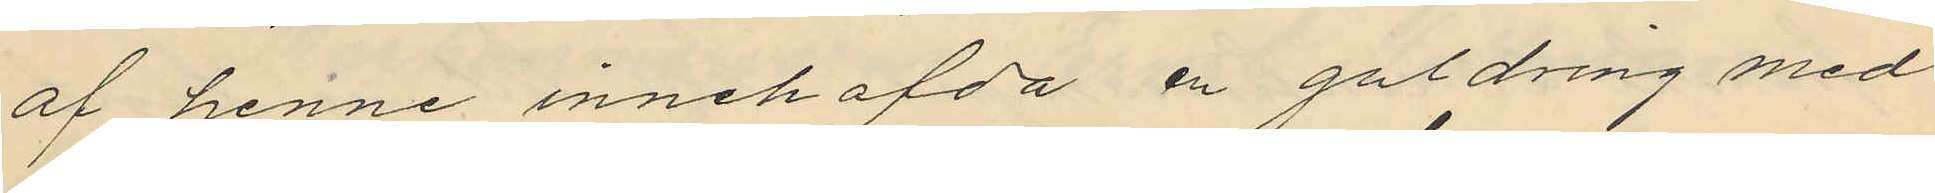af henne innehafda en guldring med
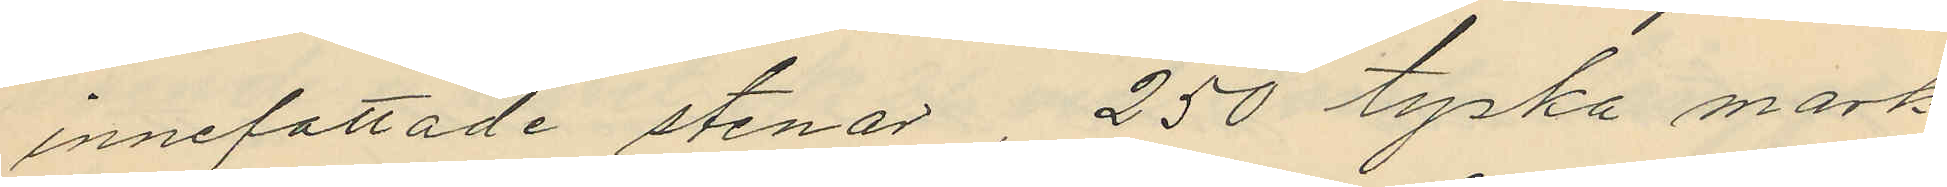innefattade stenar, 250 tyska mark
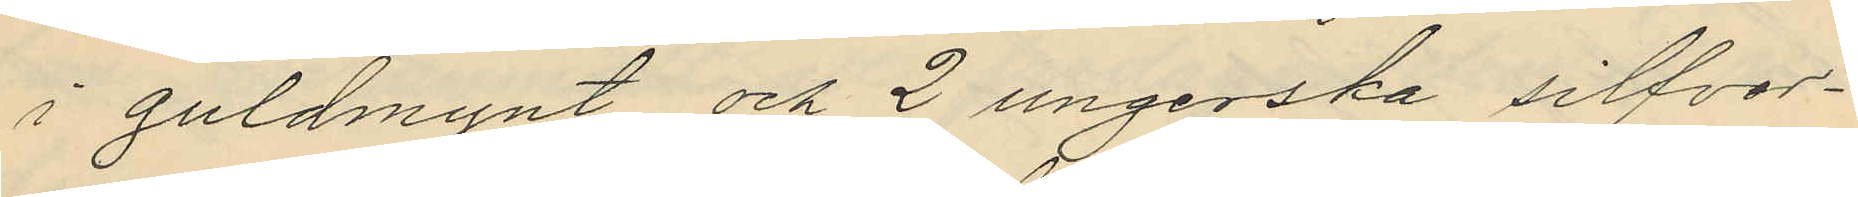i guldmynt och 2 ungerska silfver¬
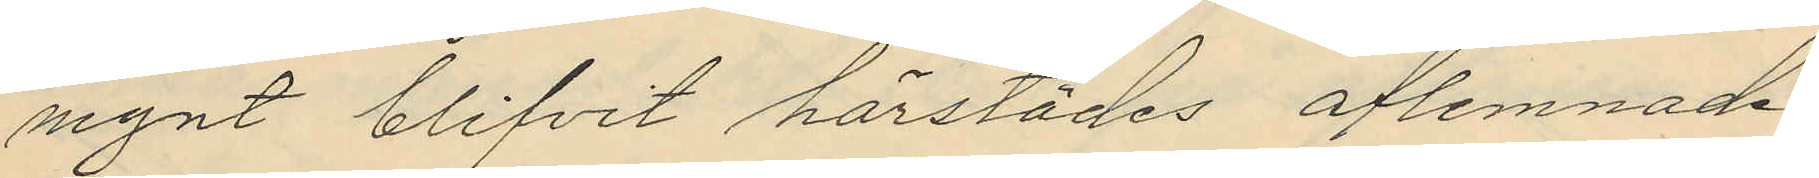mynt blifvit härstädes aflemnade.
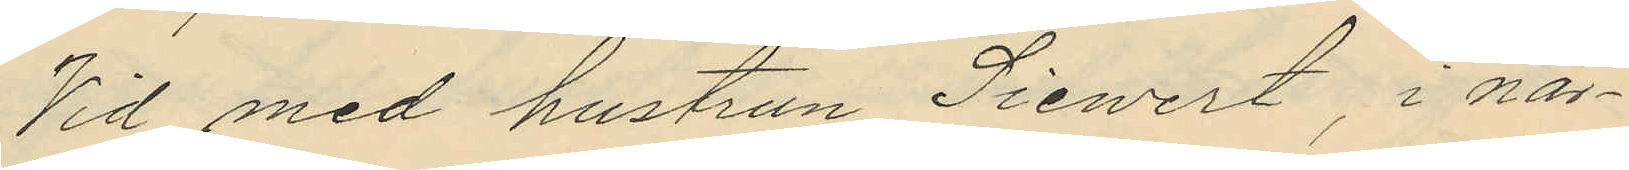Vid med hustrun Siewert, i när¬
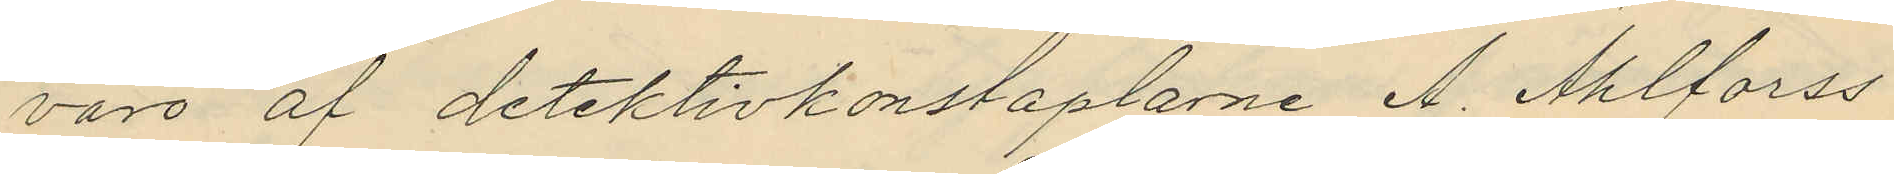varo af detektivkonstaplarne A. Ahlforss
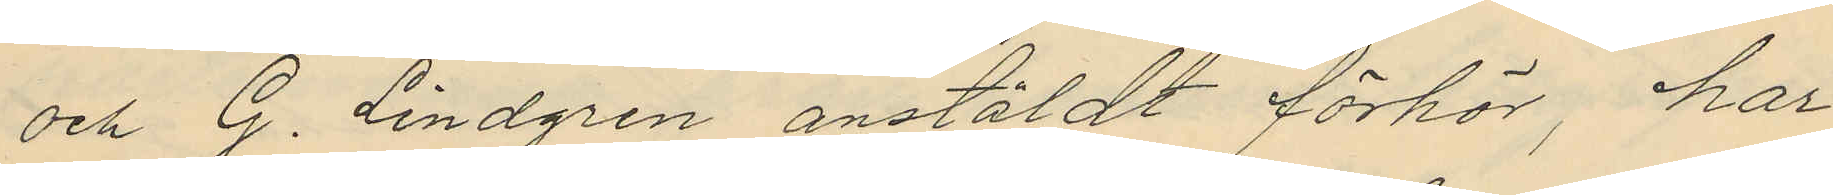och G. Lindgren anstäldt förhör, har
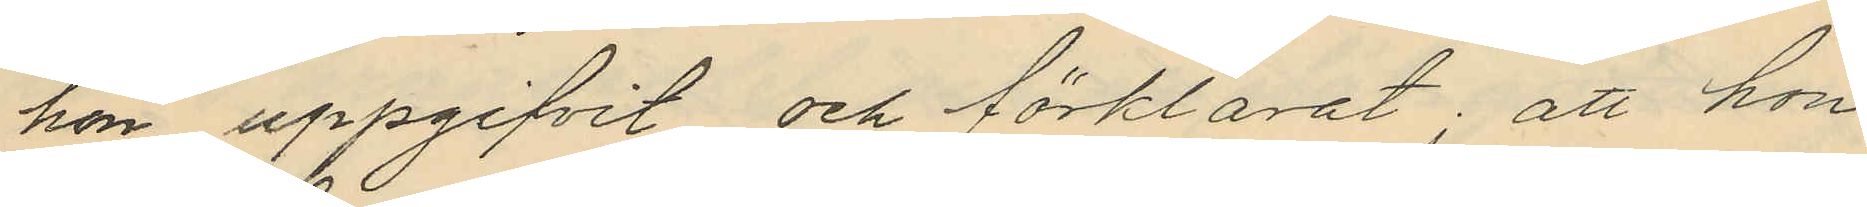hon uppgifvit och förklarat: att hon
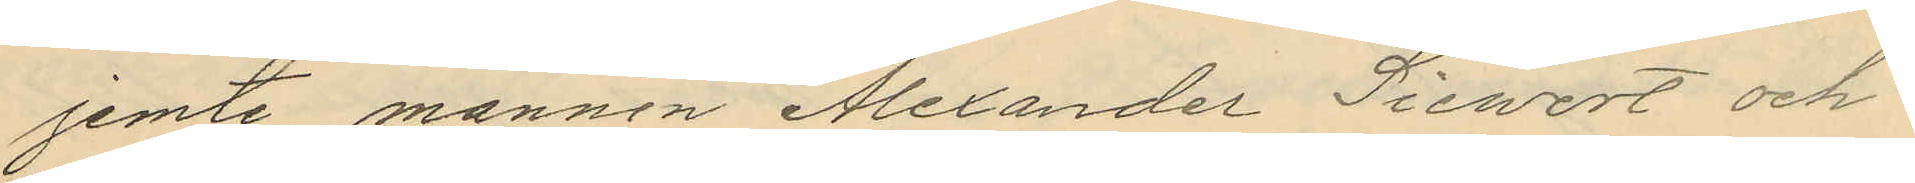jemte mannen Alexander Siewert och
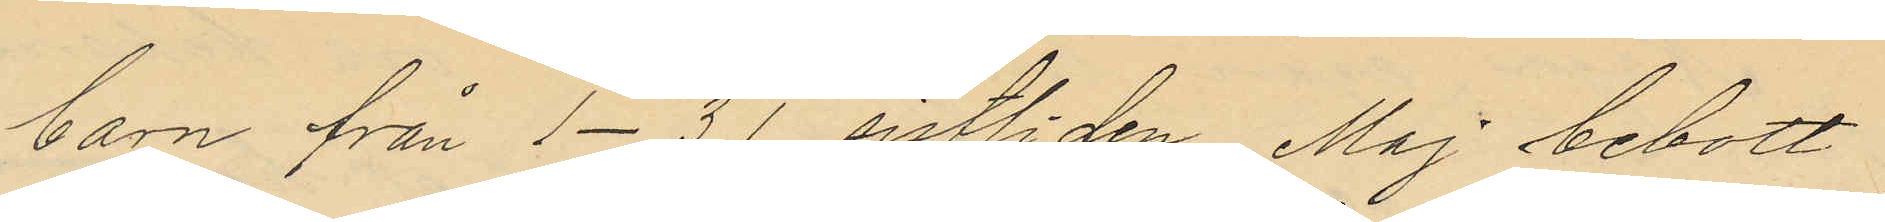barn från 1-31 sistlide Maj bebott
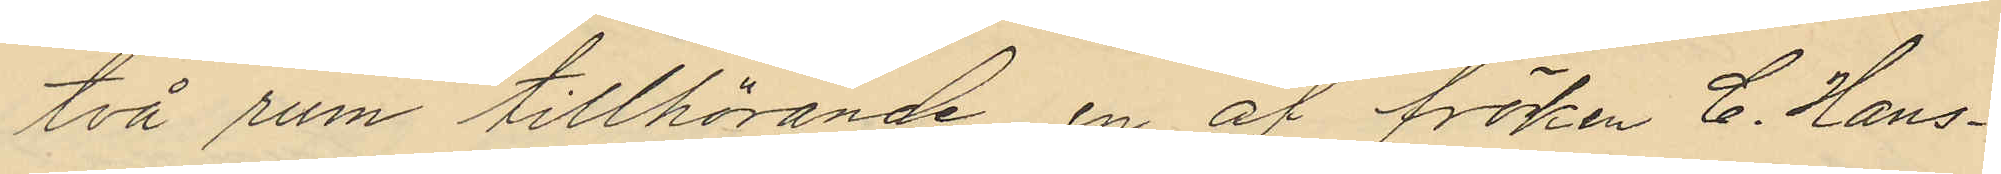två rum tillhörande en af fröken C. Hans¬
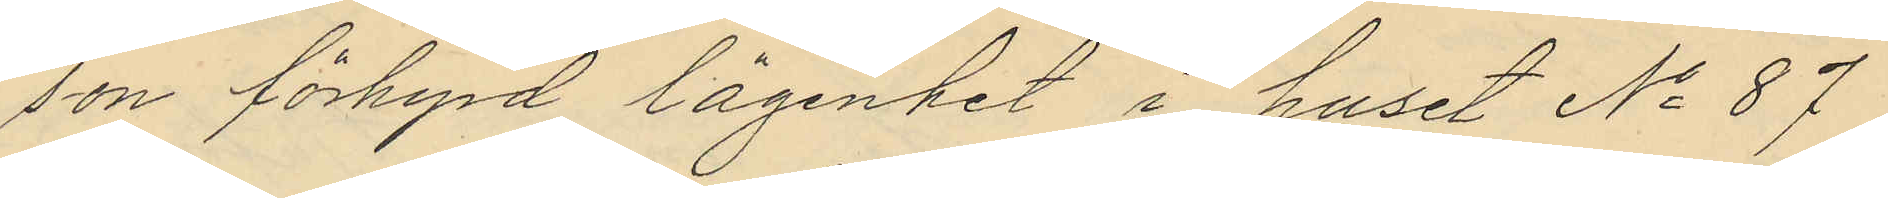son förhyrd lägenhet i huset No 87
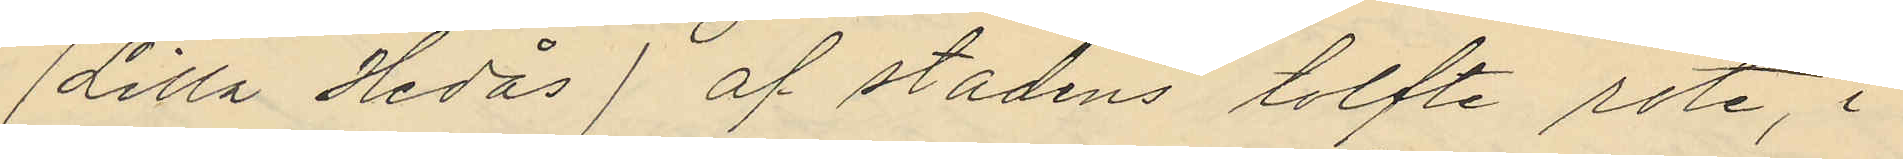(Lilla Hedås) af stadens tolfte rote, i
